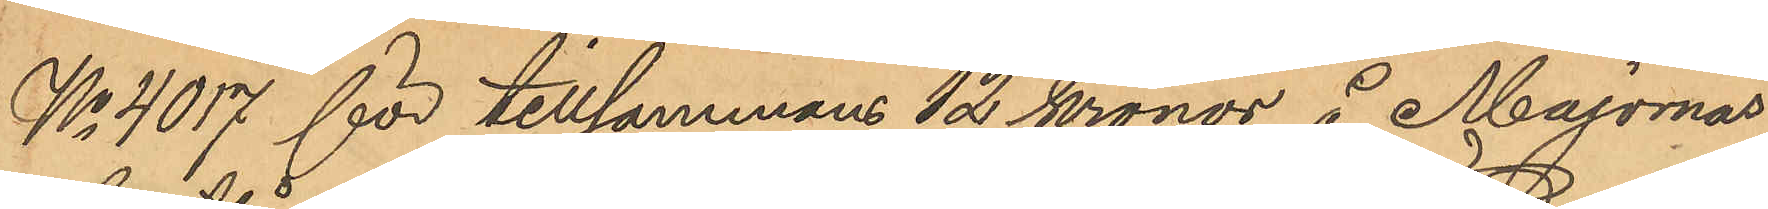No 4017 för tillsammans 12 kronor å Majornas
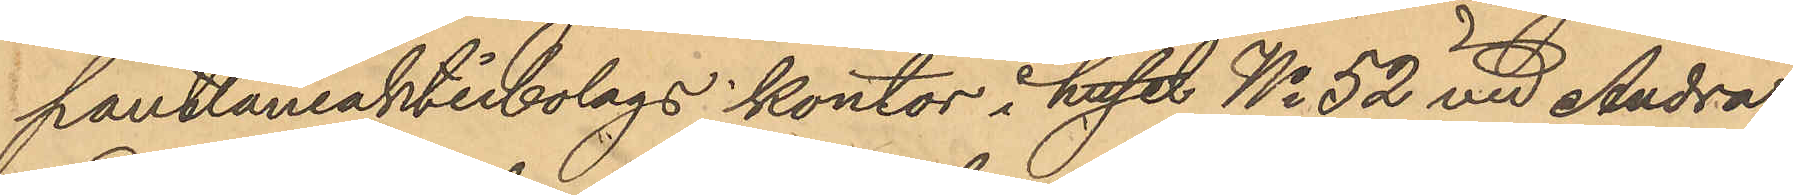pantlåneaktiebolags kontor i huset No 52 vid Andra
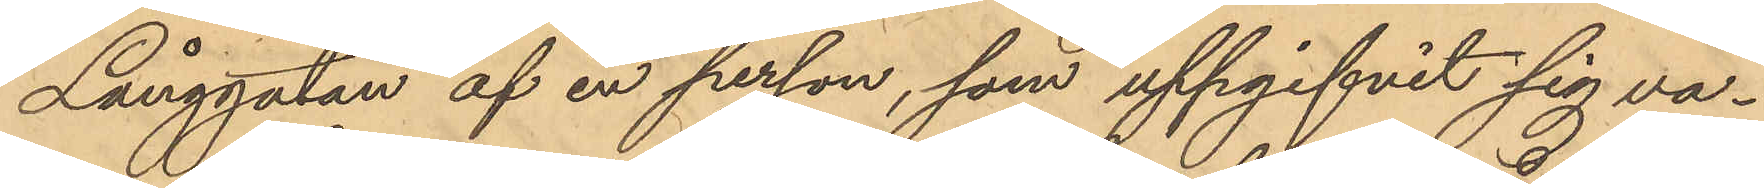Långgatan af en person, som uppgifvit sig va¬
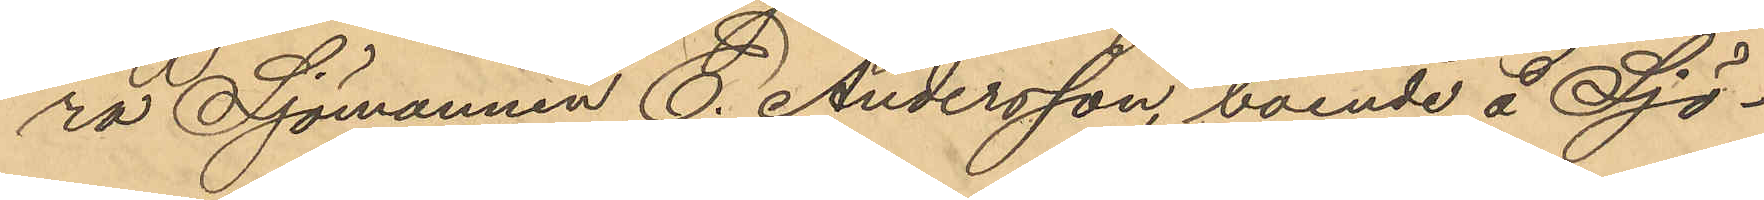ra Sjömannen C. Andersson, boende å Sjö¬
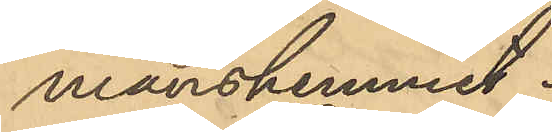manshemmet.
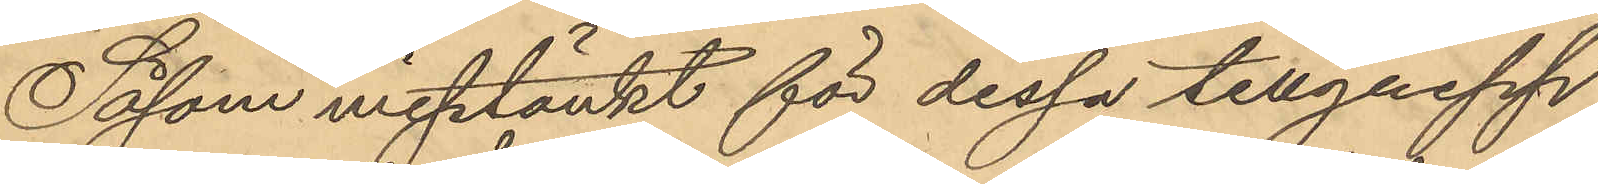Såsom misstänkt för dessa tillgrepp
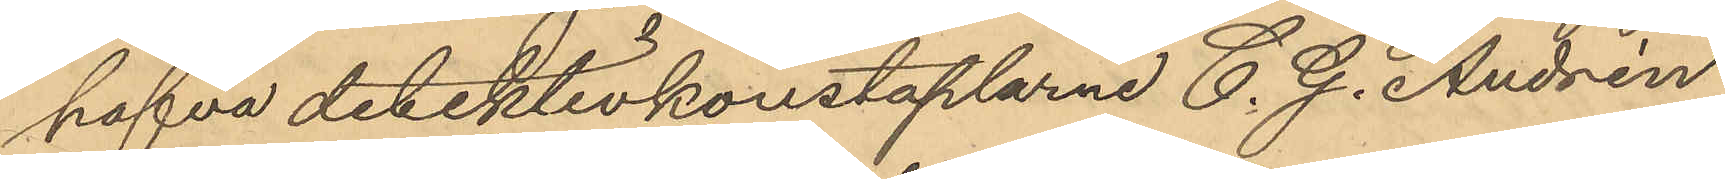hafva detektivkonstaplarne C. G. Andrén
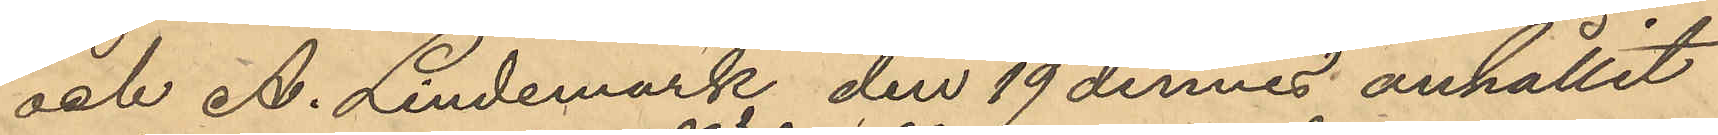och A. Lindemark den 19 dennes anhållit
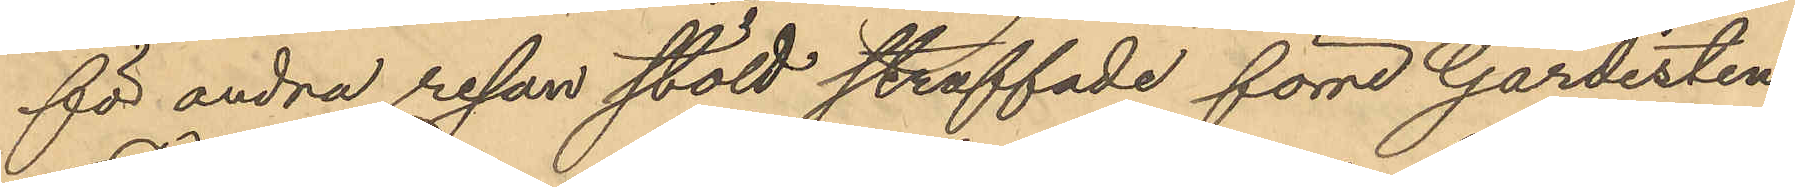för andra resan stöld straffade förre Gardisten
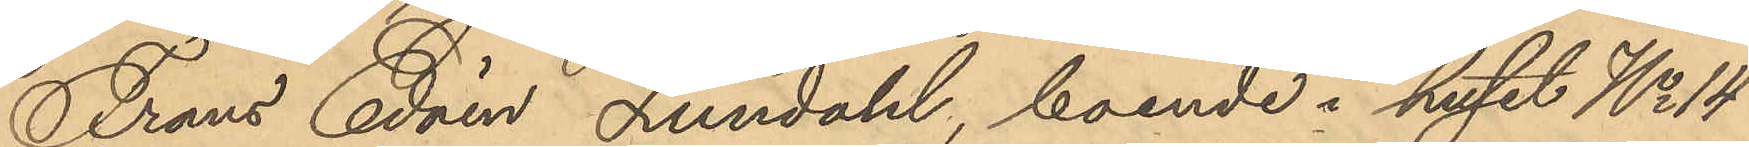Frans Edvin Lundahl, boende i huset No 14
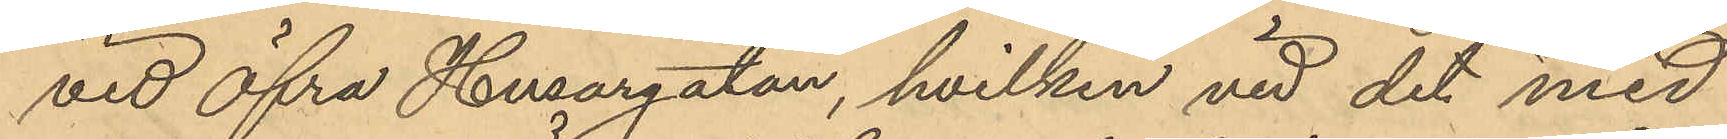vid Öfra Husargatan, hvilken vid det med
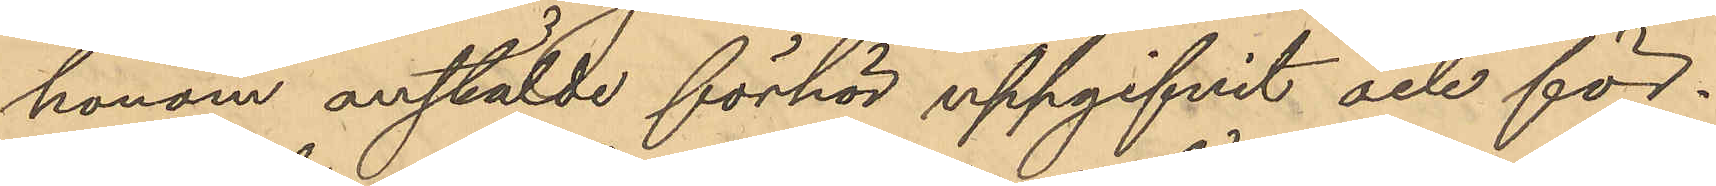honom anstälde förhör uppgifvit och för¬
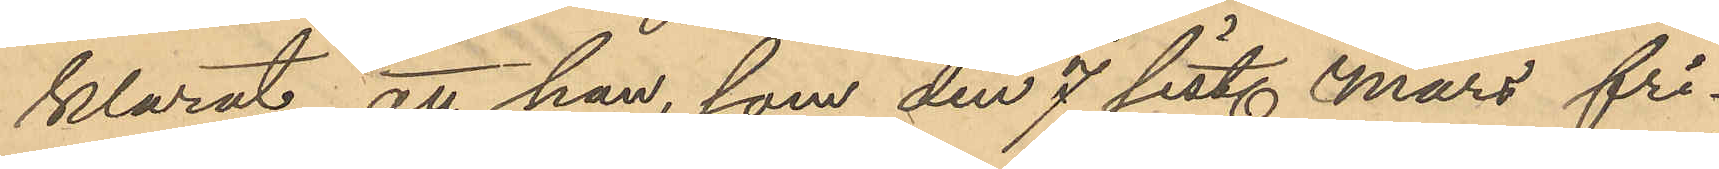klarat att han, som den 7 sist. Mars fri¬
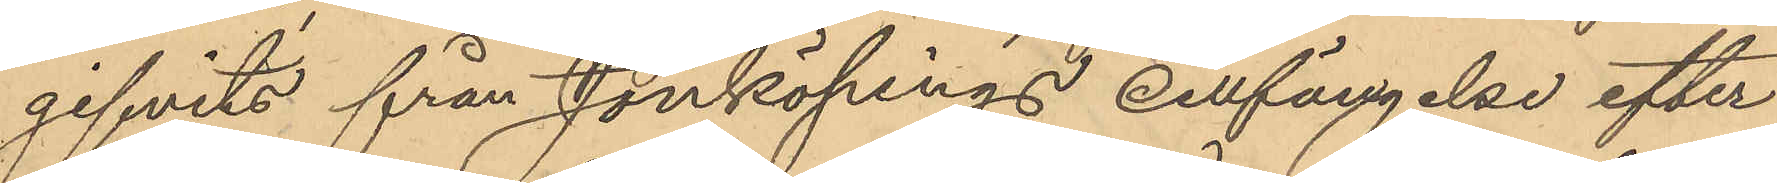gifvits från Jönköpings cellfängelse efter
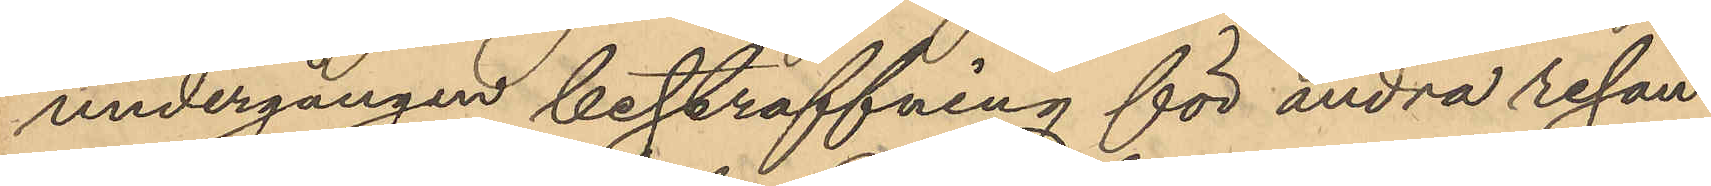undergången bestraffning för andra resan
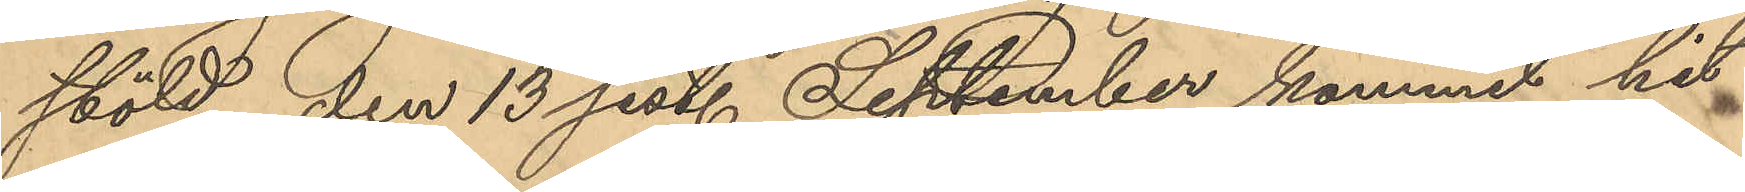stöld, den 13 sist. September kommit hit¬
